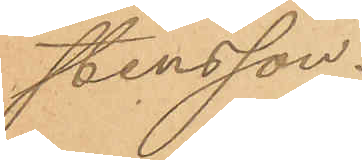stensson.
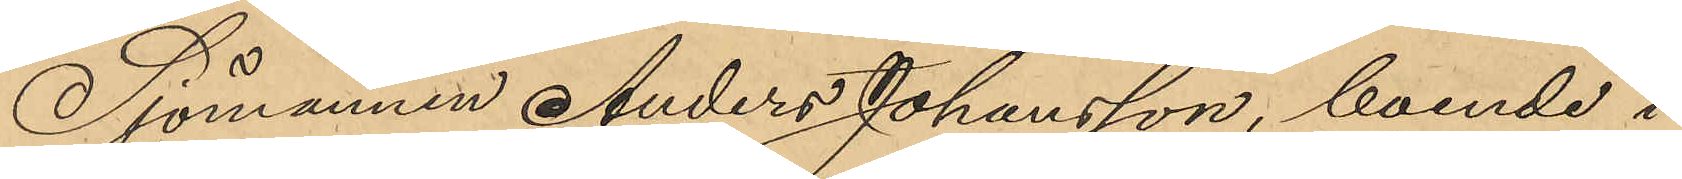Sjömannen Anders Johansson, boende i
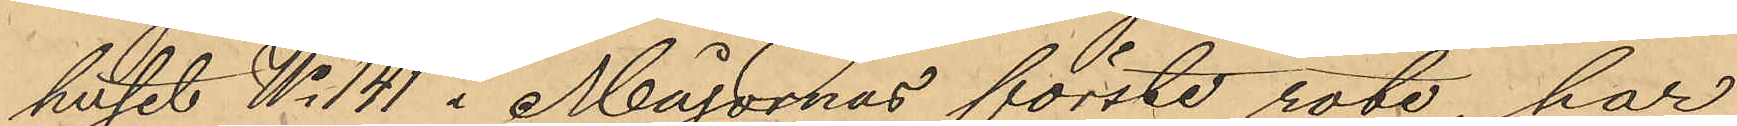huset No 141 i Majornas förste rote, har
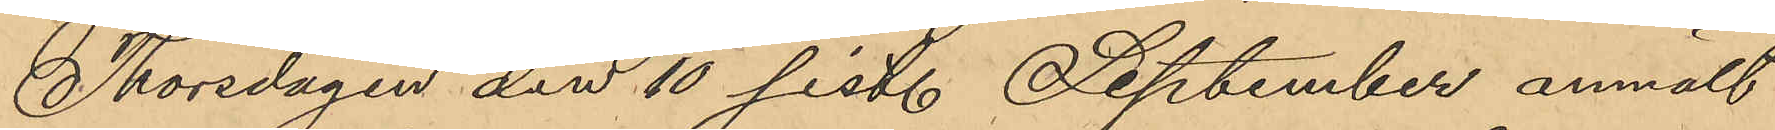Thorsdagen den 10 sist. September anmält
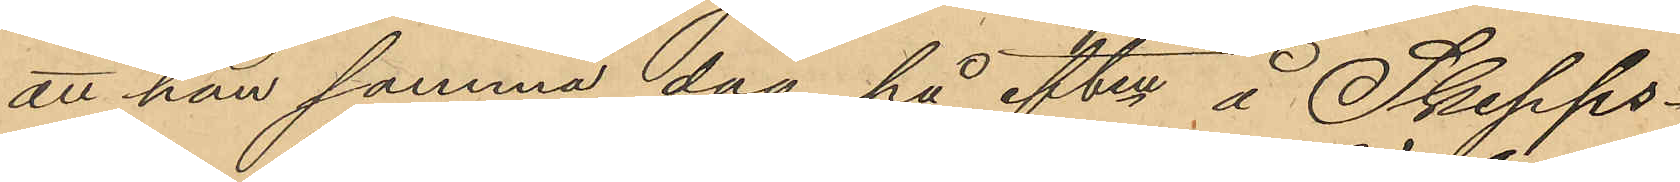att han samma dag på eften å Skepps¬
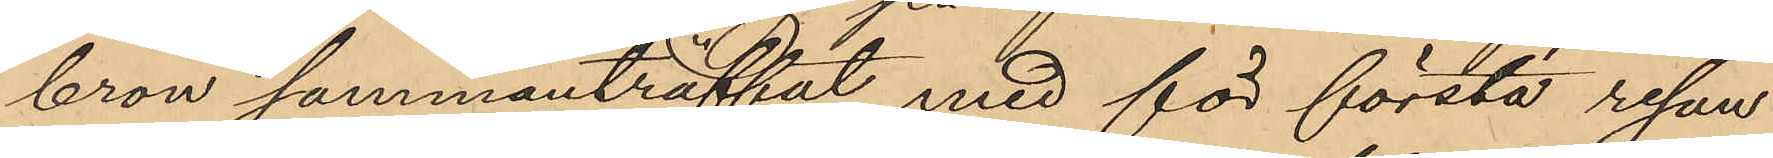bron sammanträffat med för första resan
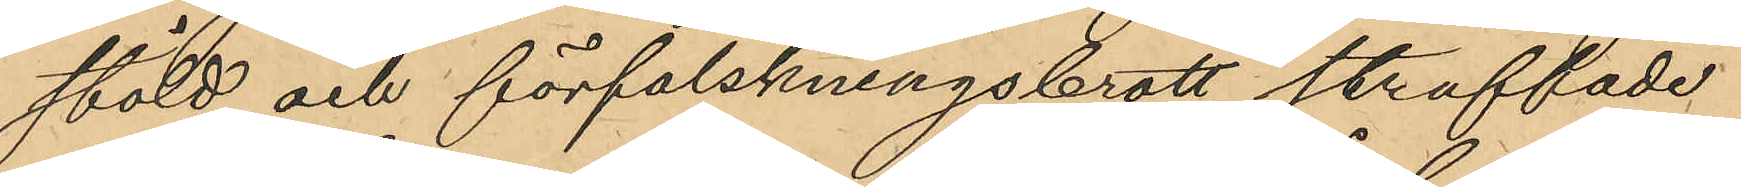stöld och förfalskningsbrott straffade
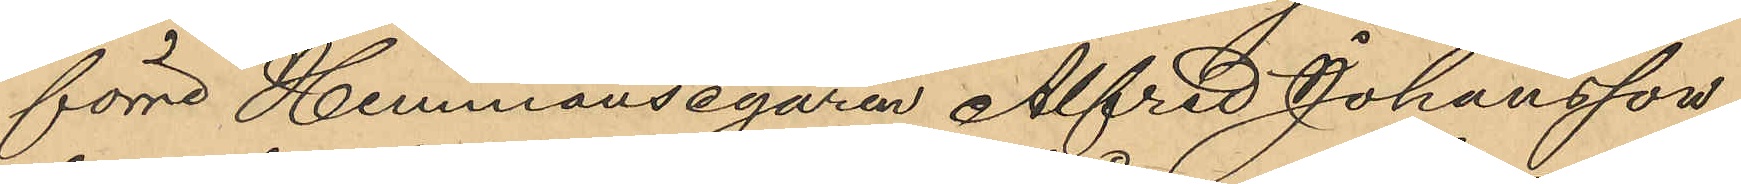förre Hemmansegaren Alfred Johansson
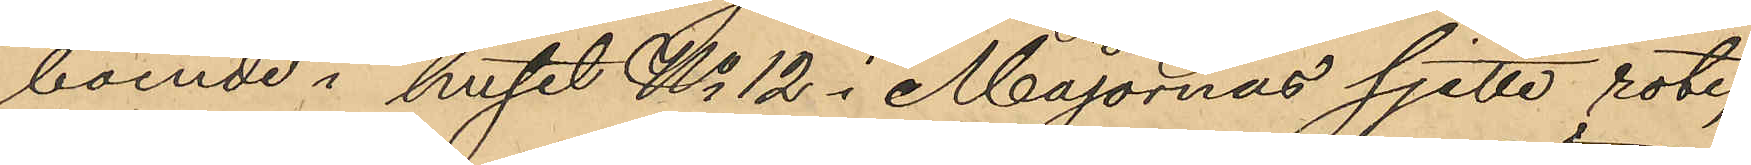boende i huset No 12 i Majornas sjette rote,
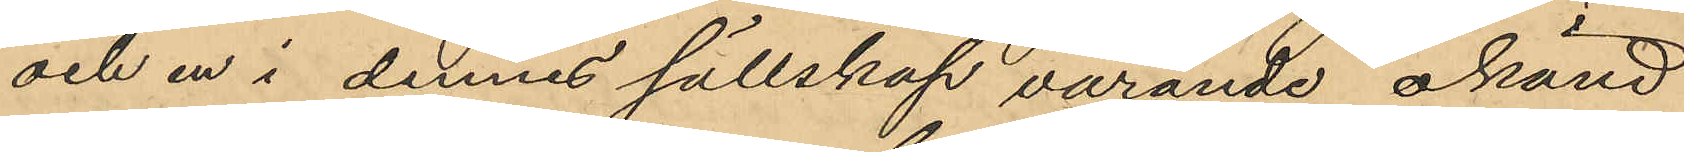och en i dennes sällskap varande okänd
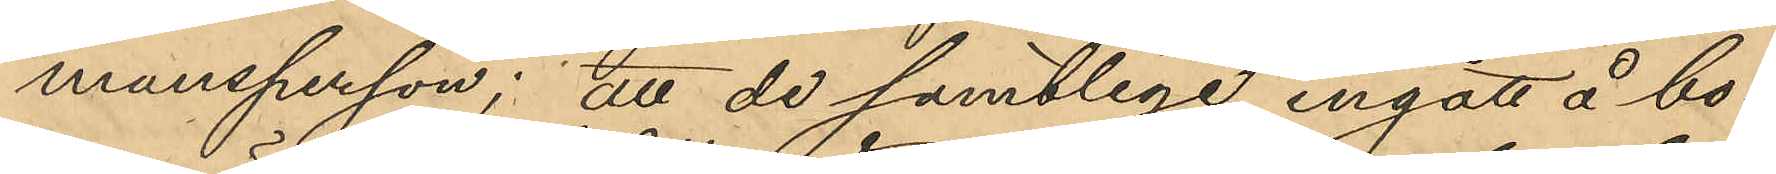mansperson; att de samtlige ingått å bo¬
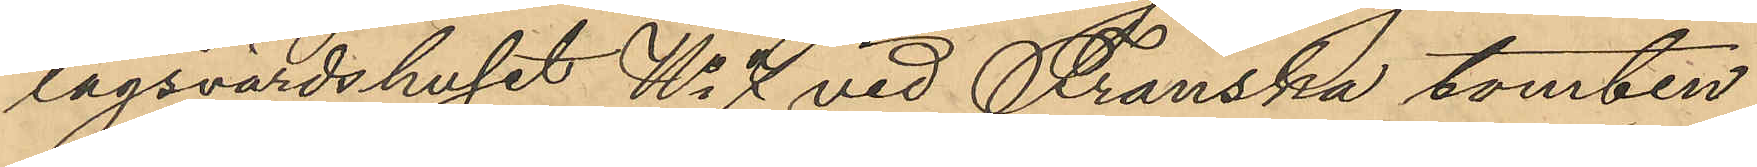lagsvärdshuset No 4 vid Franska tomten
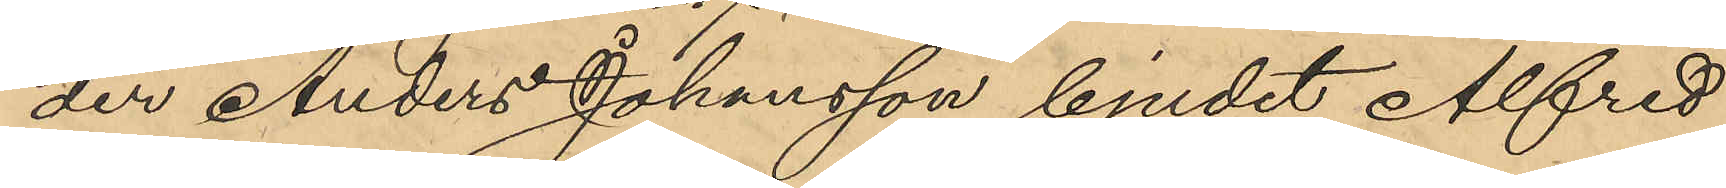der Anders Johansson bjudit Alfred
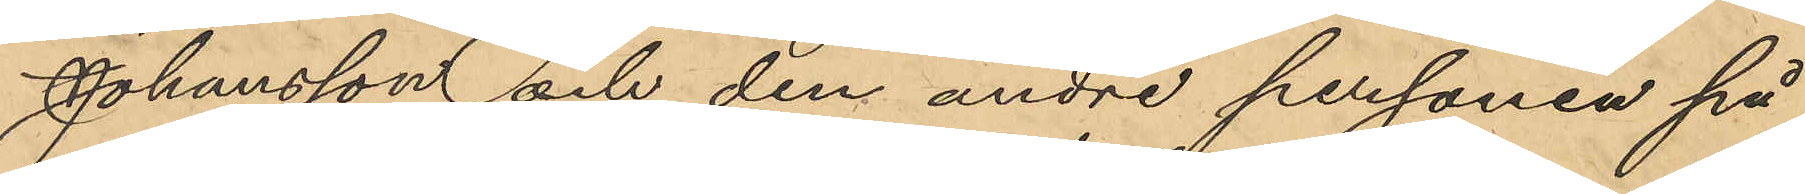Johansson och den andre personen på
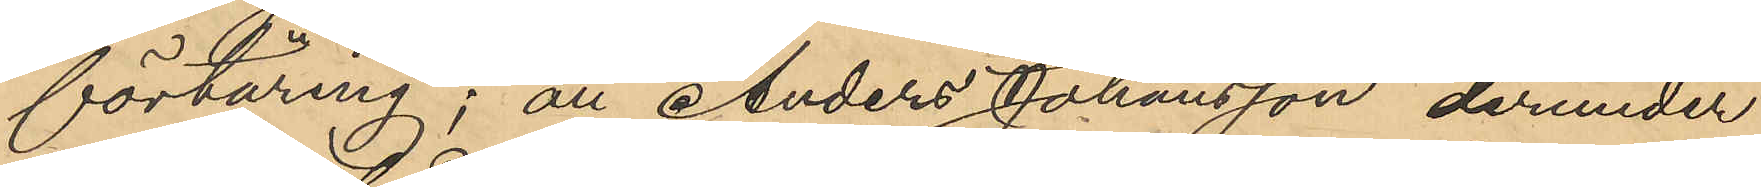förtäring; att Anders Johansson derunder
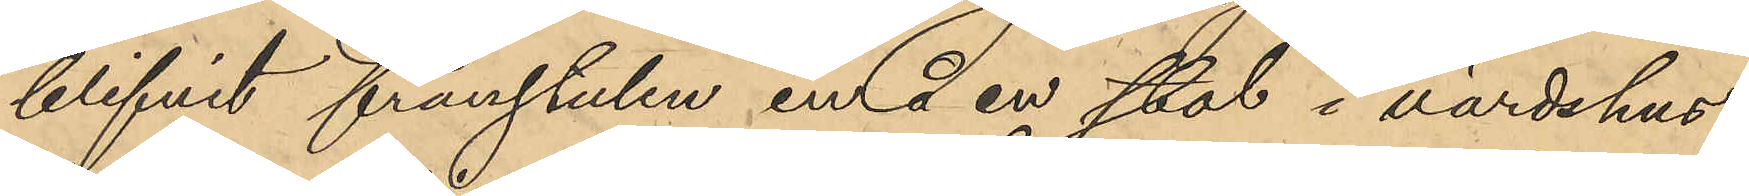blifvit frånstulen en å en stol i värdshus¬
